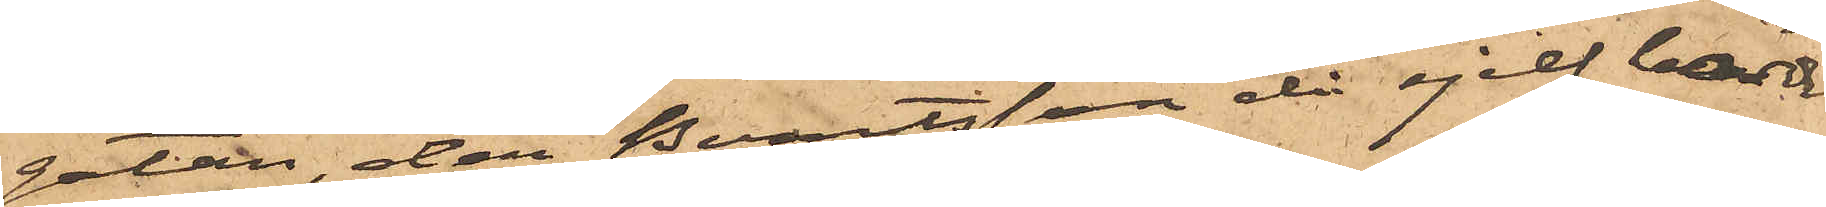gatan, der Berntsson då sjelf bodde
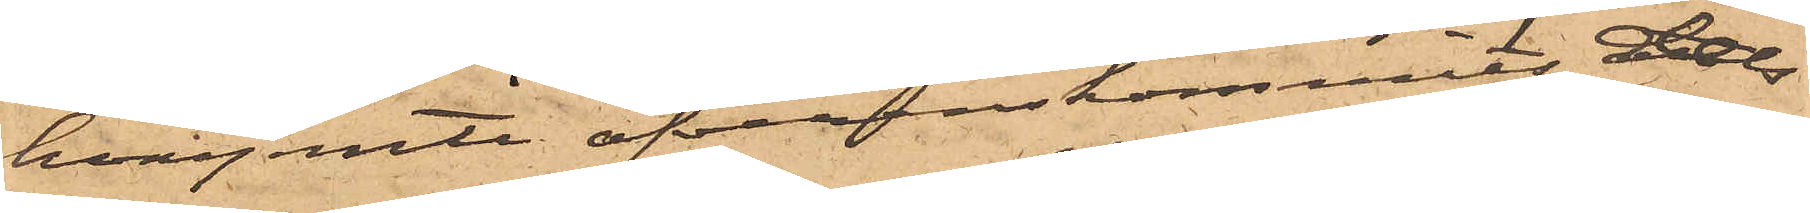hvarjemte öfverenskommits dels
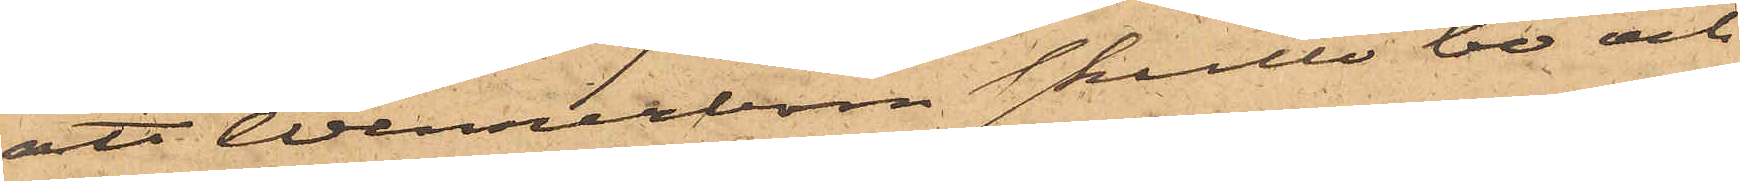att Wennerbom skulle bo och
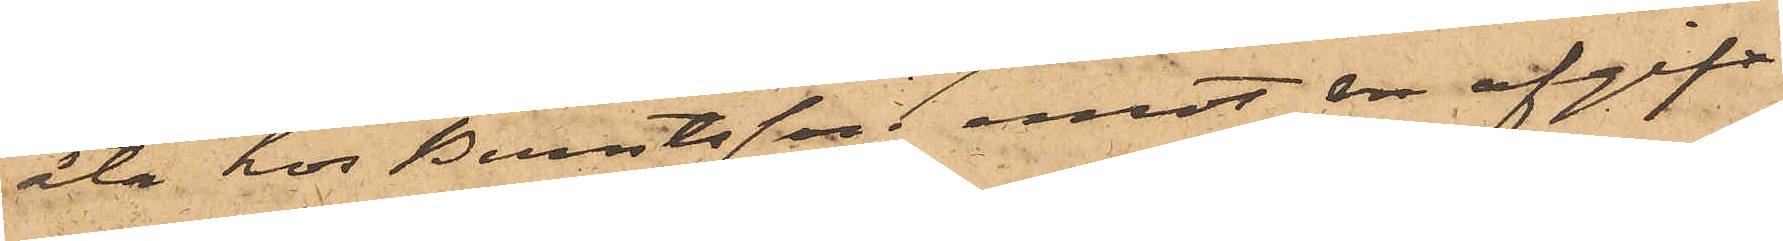äta hos Berntsson emot en afgift
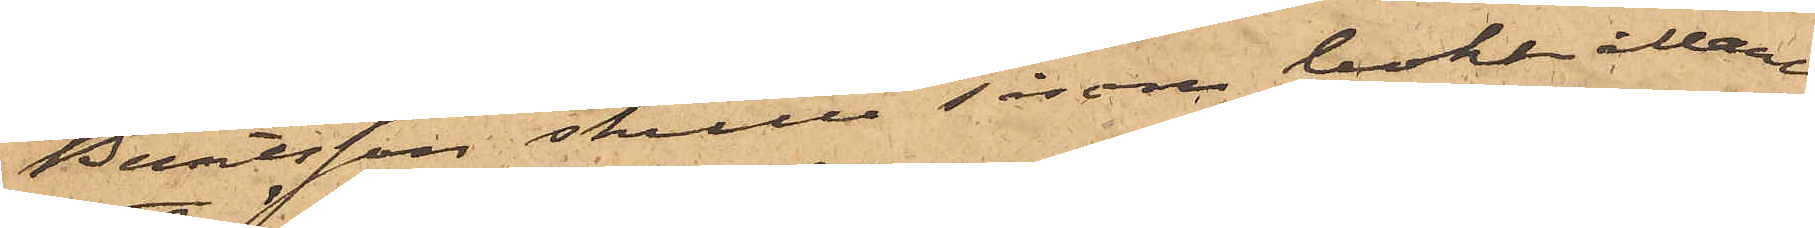Berntsson skulle såsom bokhållare
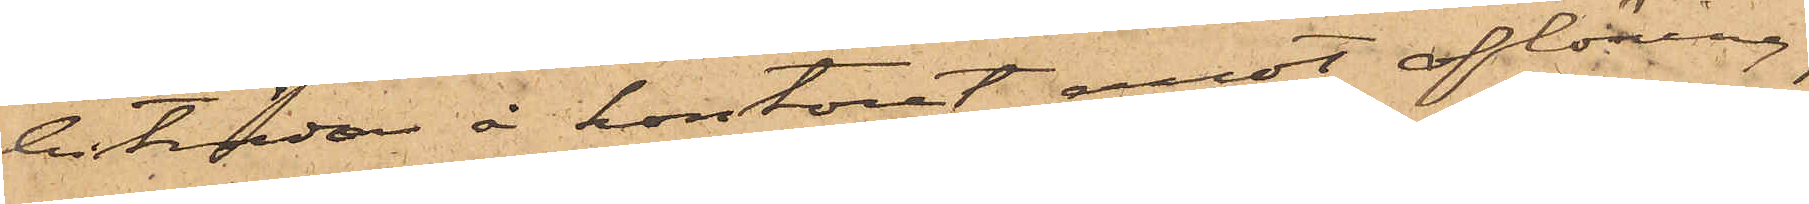biträda å kontoret emot aflöning,
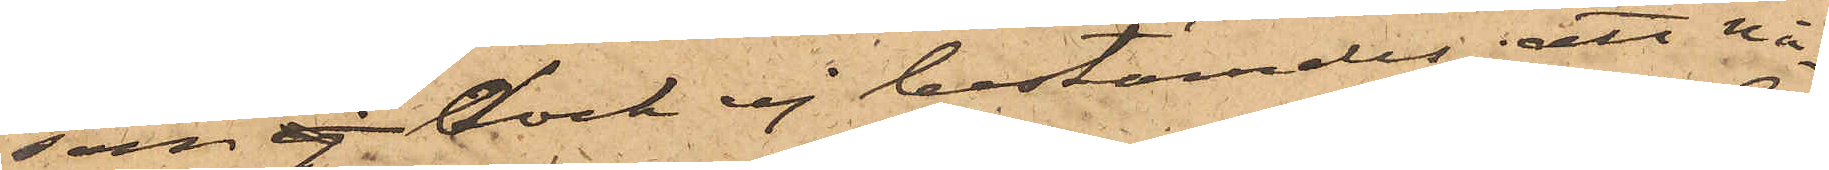som ej dock ej bestämdes; att nå¬
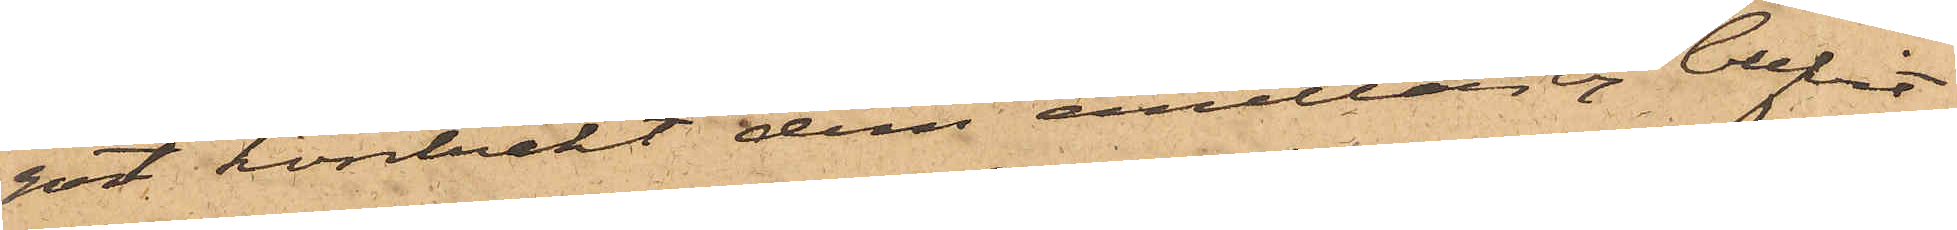got kontrakt dem emellan ej blifvit
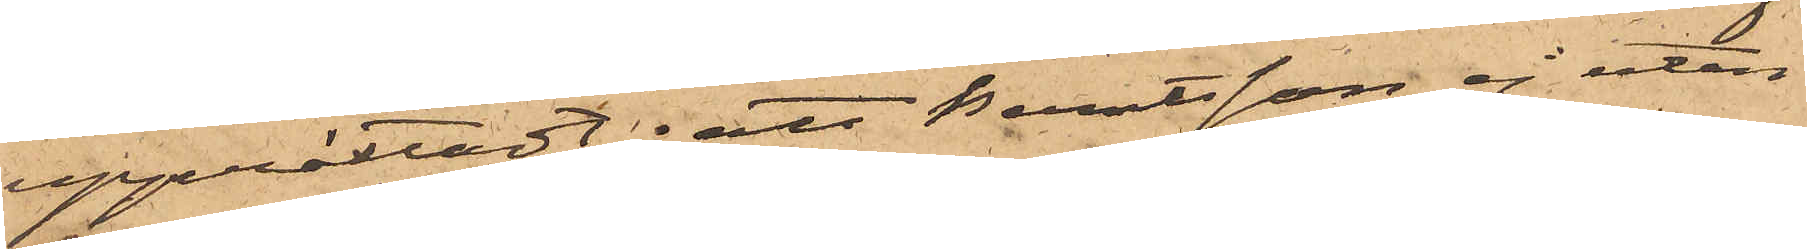upprättadt; att Berntsson ej utan
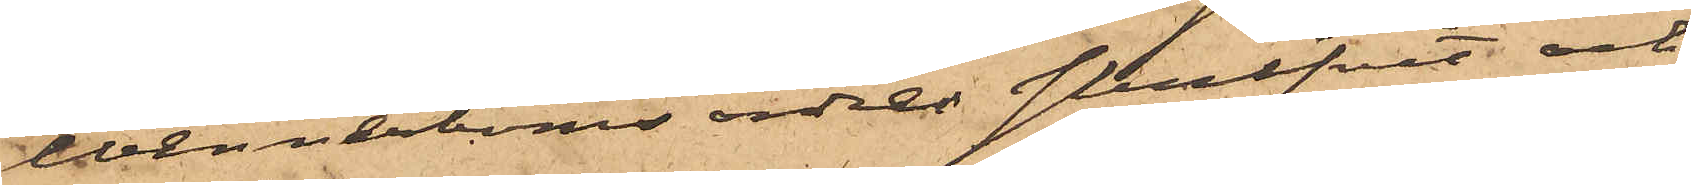Wennerboms ordres skrifvit och
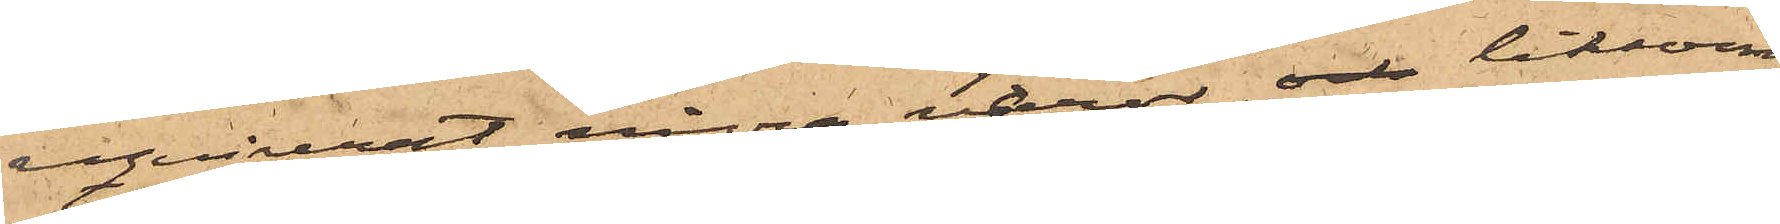reqvirerat några varor, och liksom
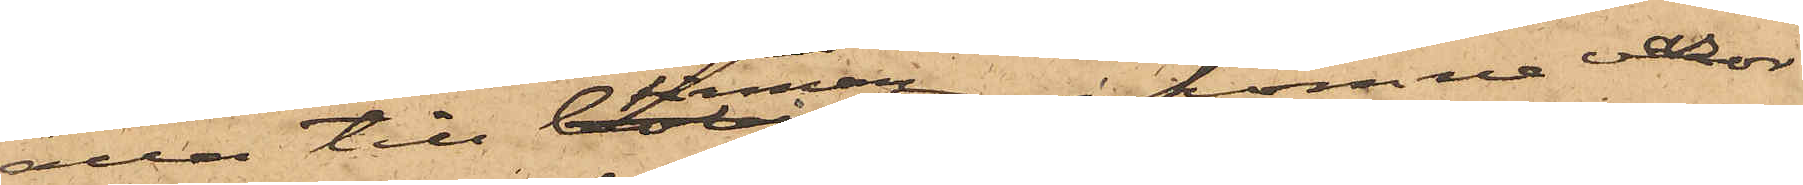alla till firman ankomne varor
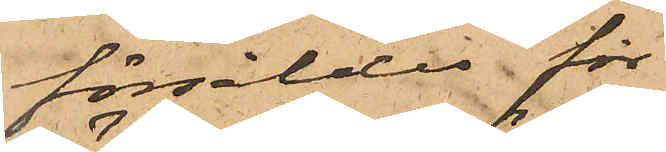försåldes för
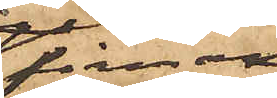firman,
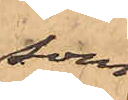som
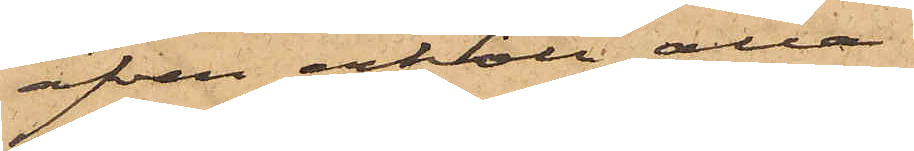äfven erhöll alla
